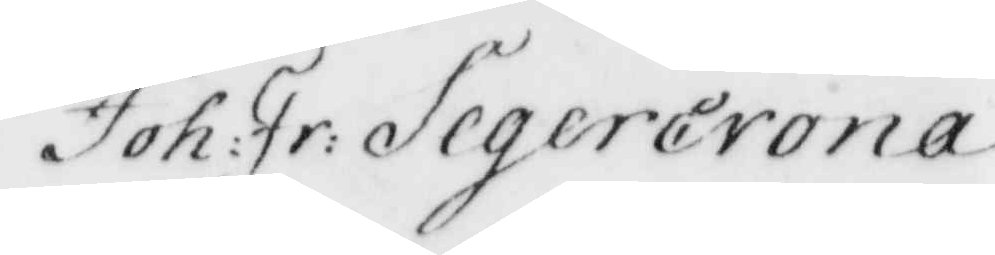Joh: Fr: Segercrona
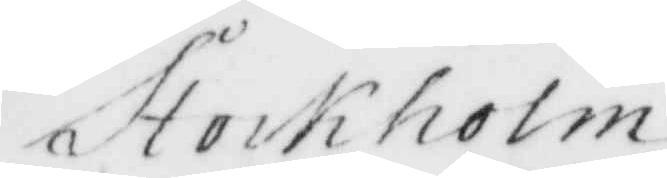Stockholm
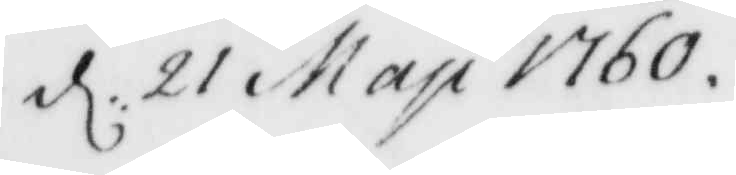d. 21 May 1760
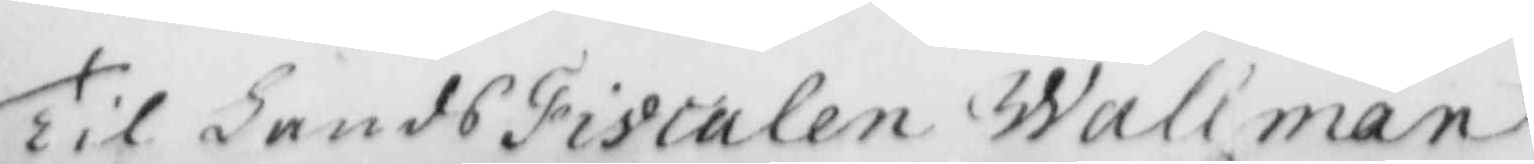Til Lands Fiscalen Wallman
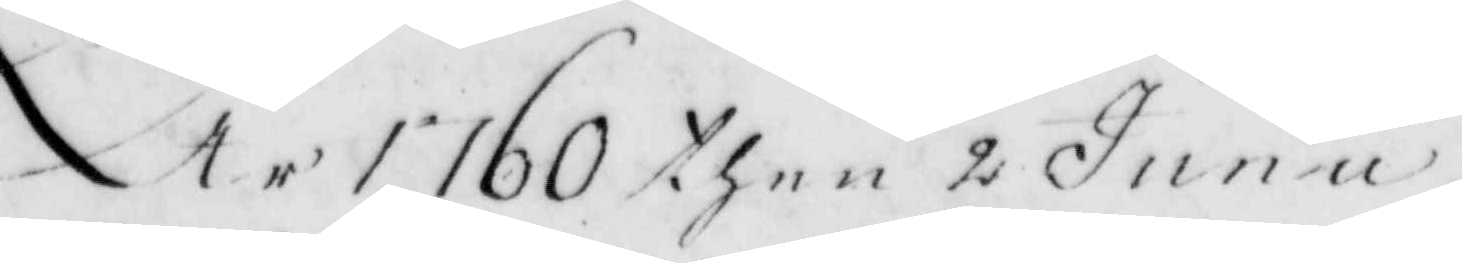År 1760 then 2 Junu
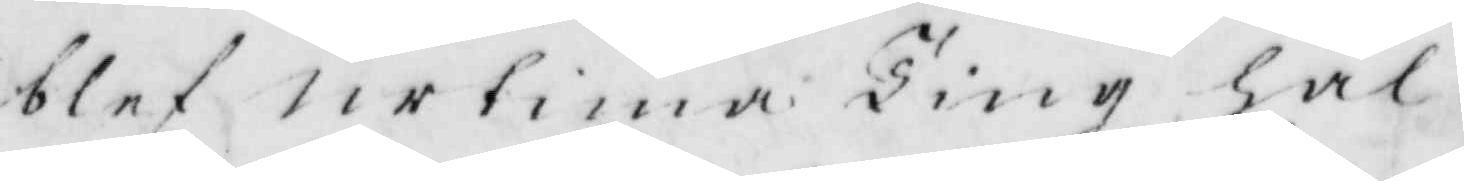blef urtima Ting hål¬
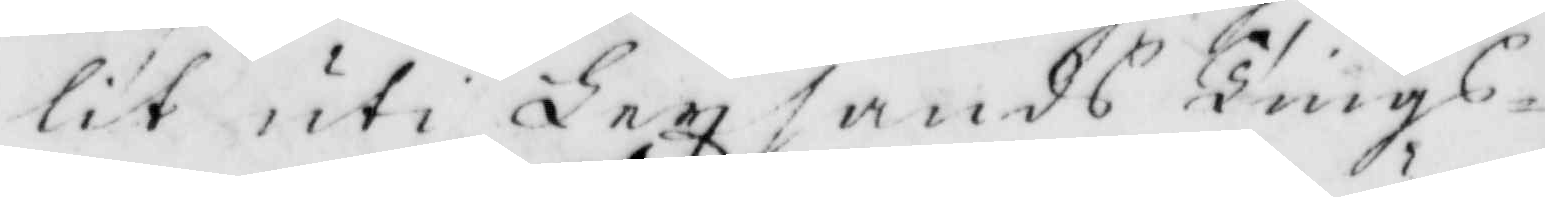lit uti Lexsands Tings¬
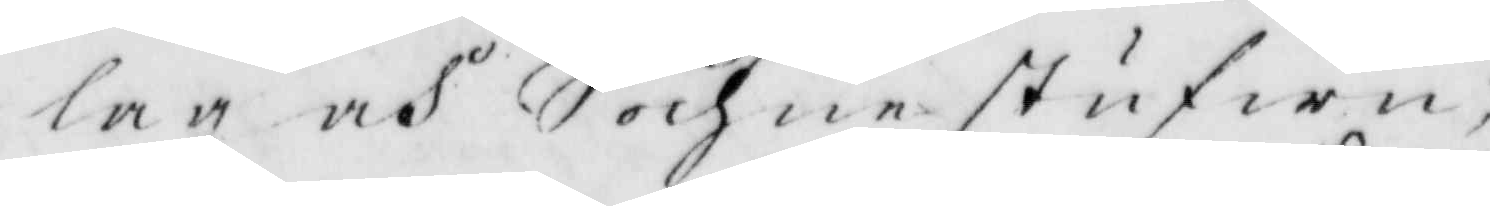lag och Sochnestufwu,
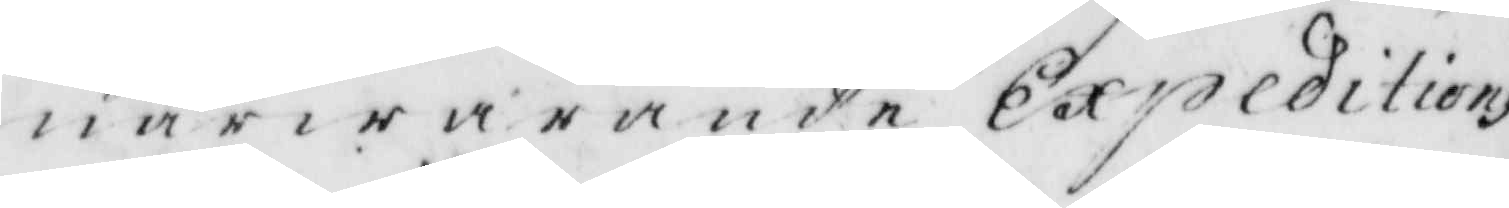närwarande Expeditions
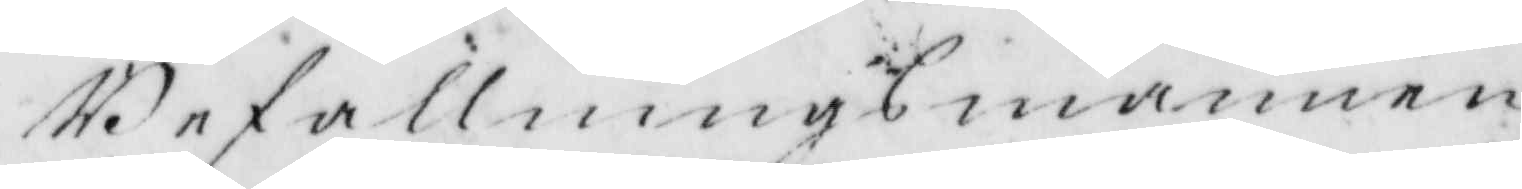Befallningsmannen
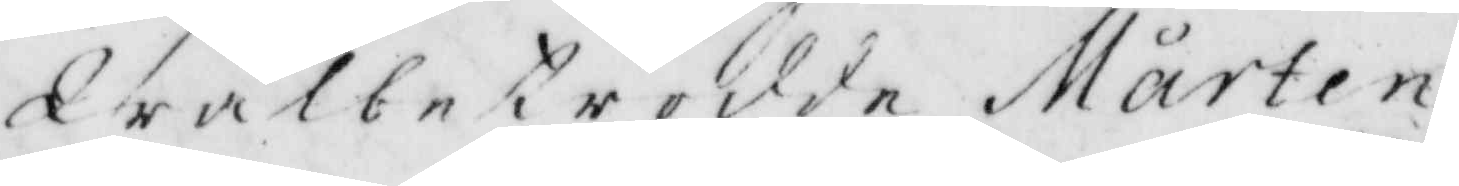Wäbetrodde Mårten
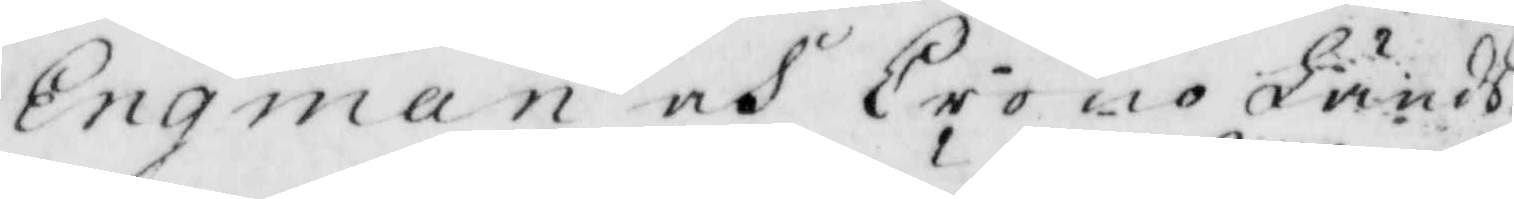Engman och CronoLänds¬
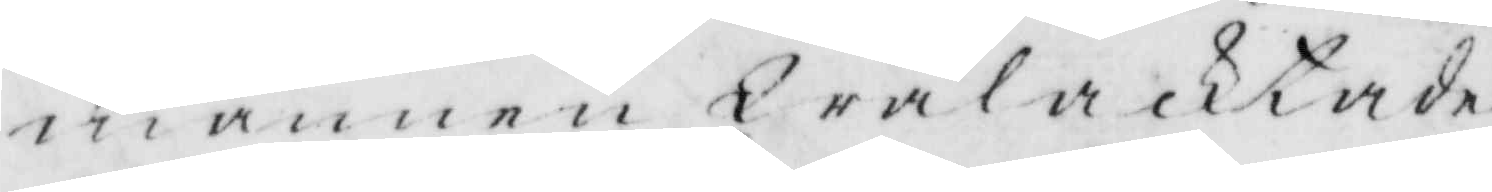mannen Wälacktade
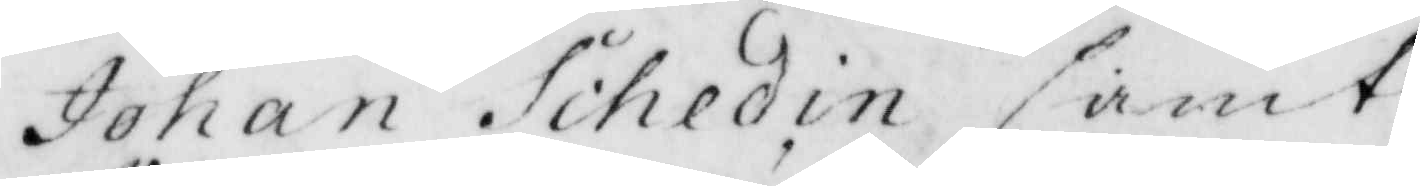Johan Schedin samt
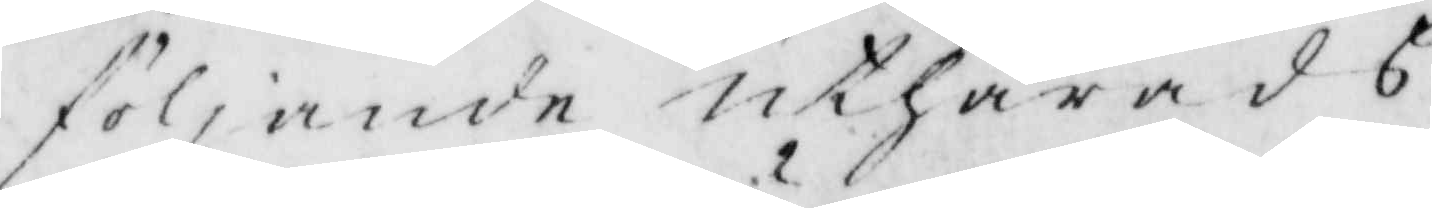följande uthärads
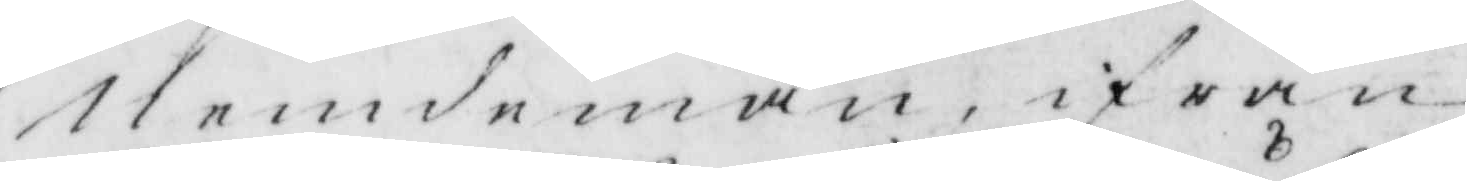Nemdemän, ifrån
